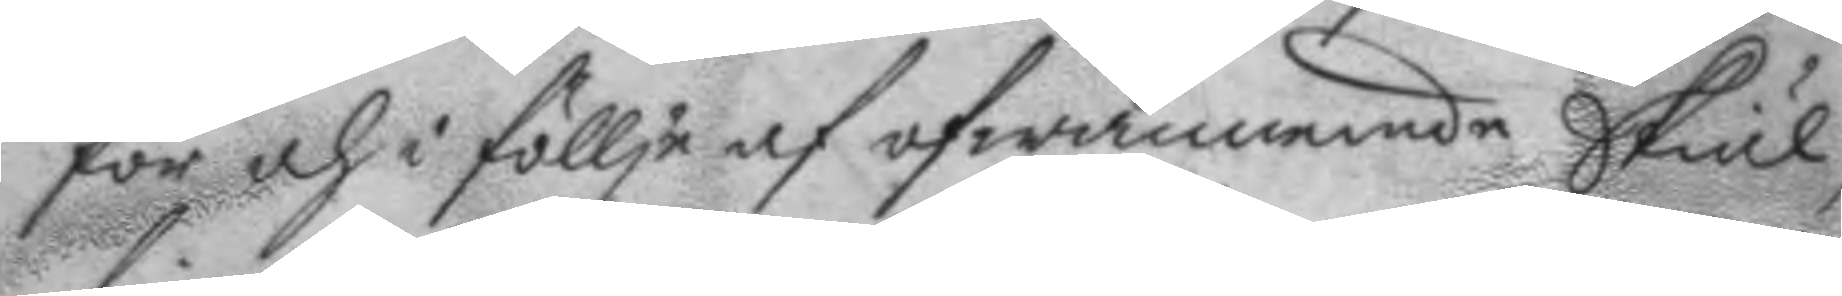för och i föllje af ofwannende skiäl,
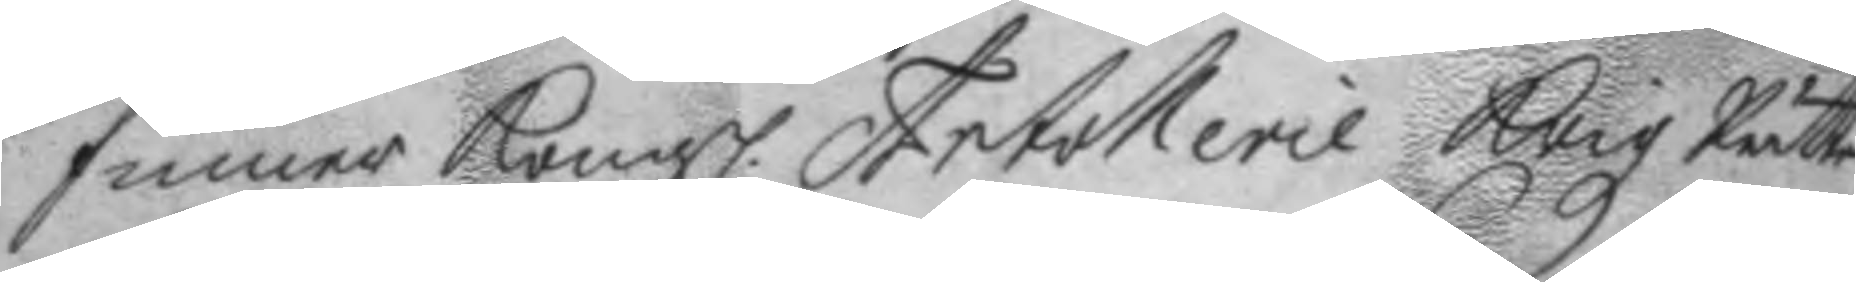finner Kongl. Artollerie Krigz Rätten 
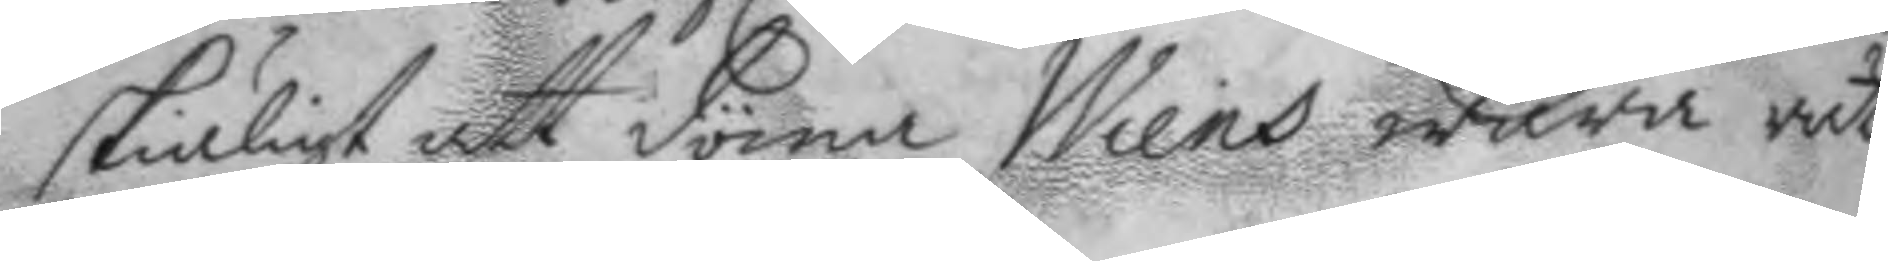skiäligt att döma Wiens wara rätt
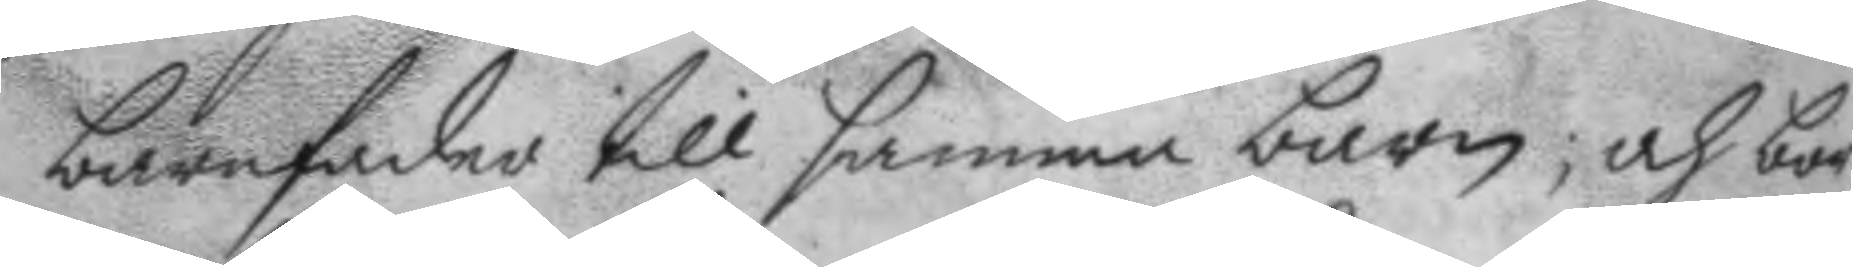barnfader till samma barn; och bör
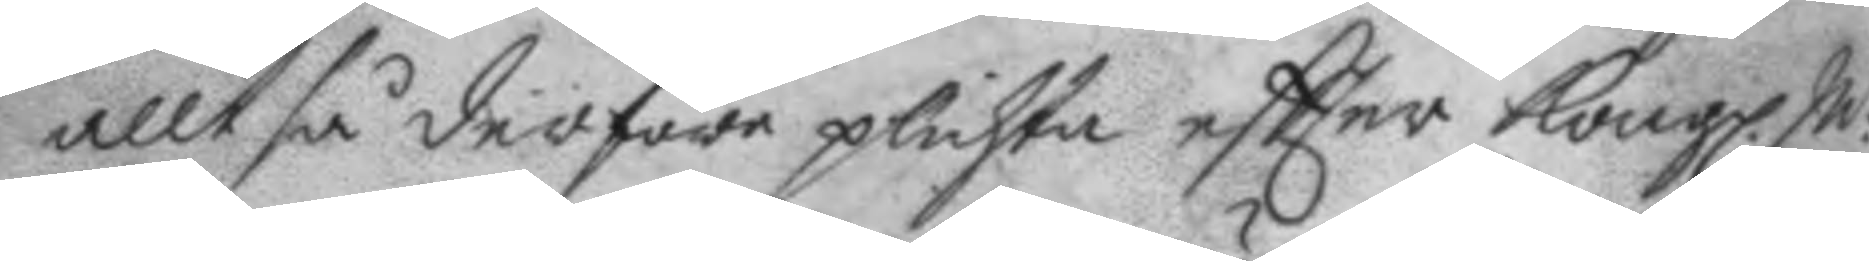alltså derföre plichta eftter Kongl. M 
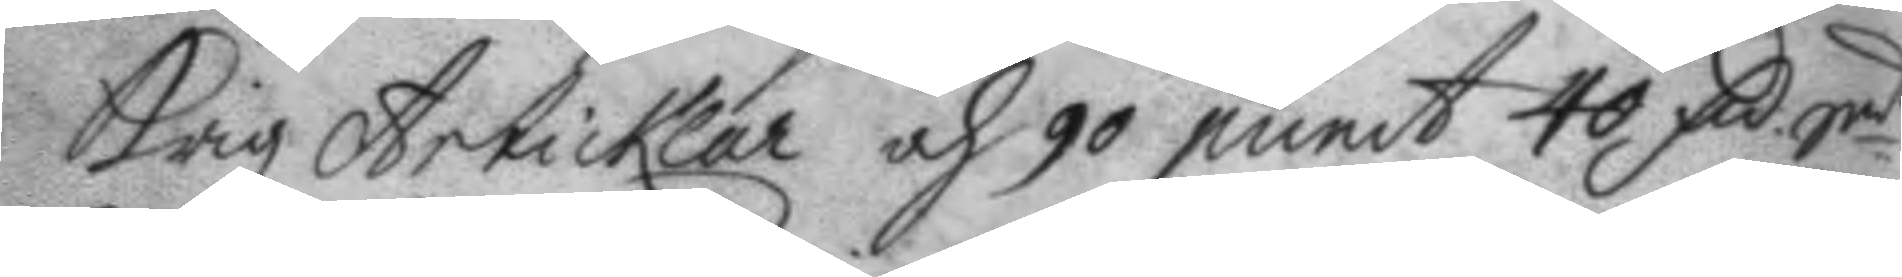Krigz Articklar och 90 punct 40 mC Smt  
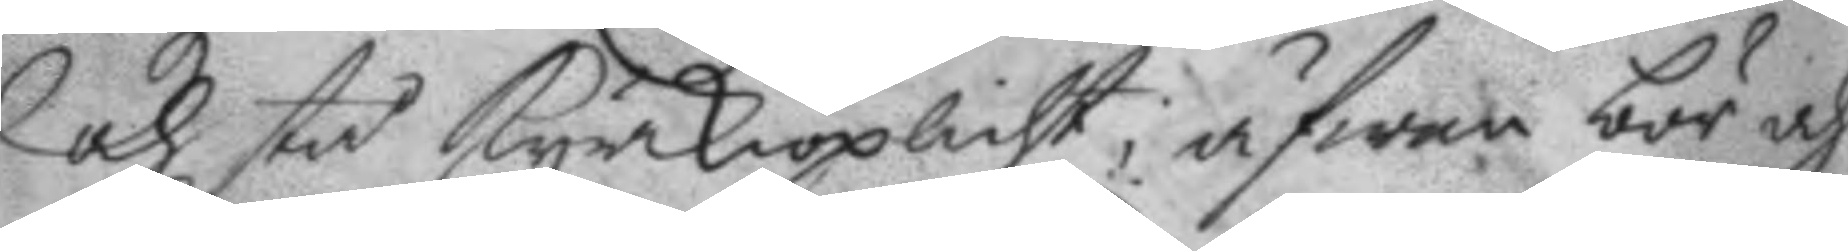och stå kyrkioplicht, äfwen bör och
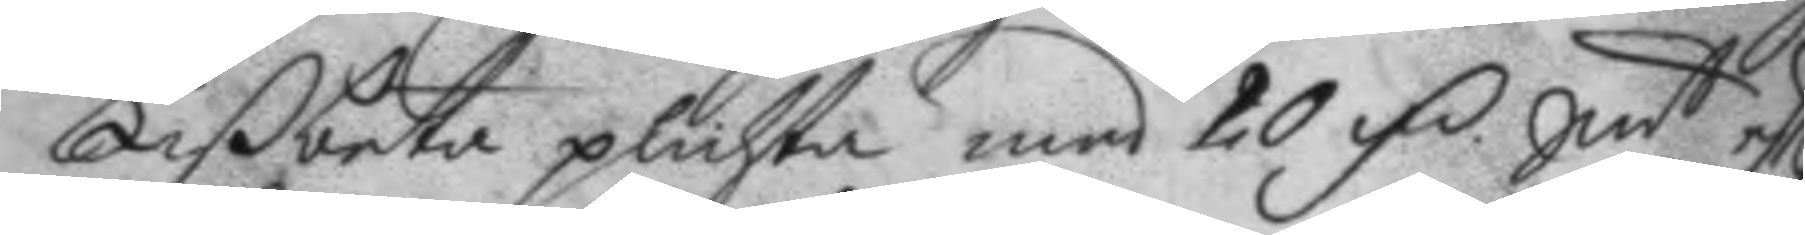Lißbeta plichta med 20 mC Smt eftter 
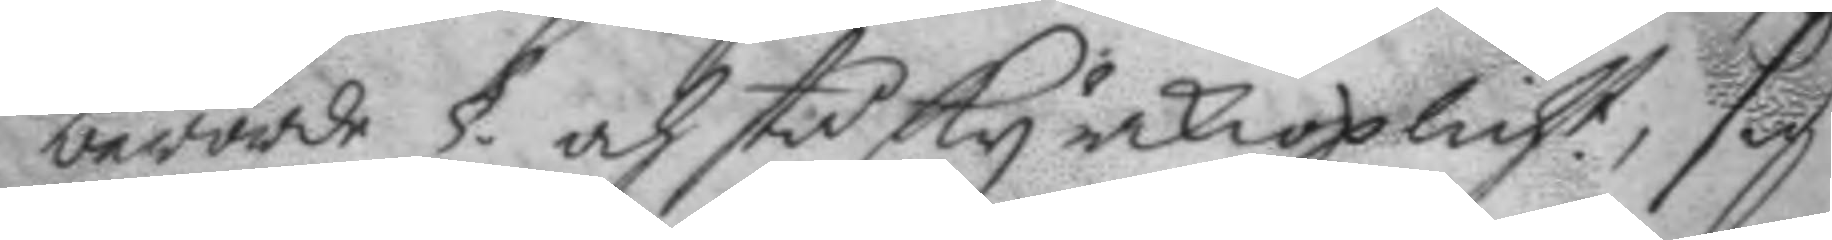berörde § och stå sky kyrkioplicht, sig 
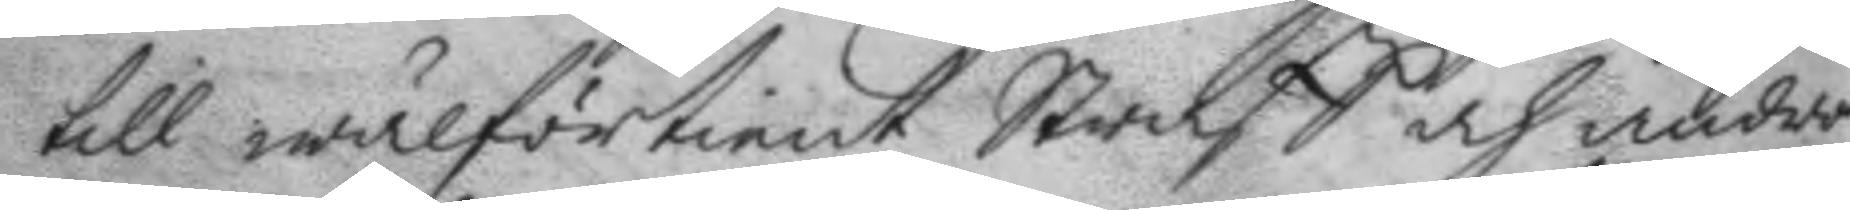till wälförtient Straff och androm
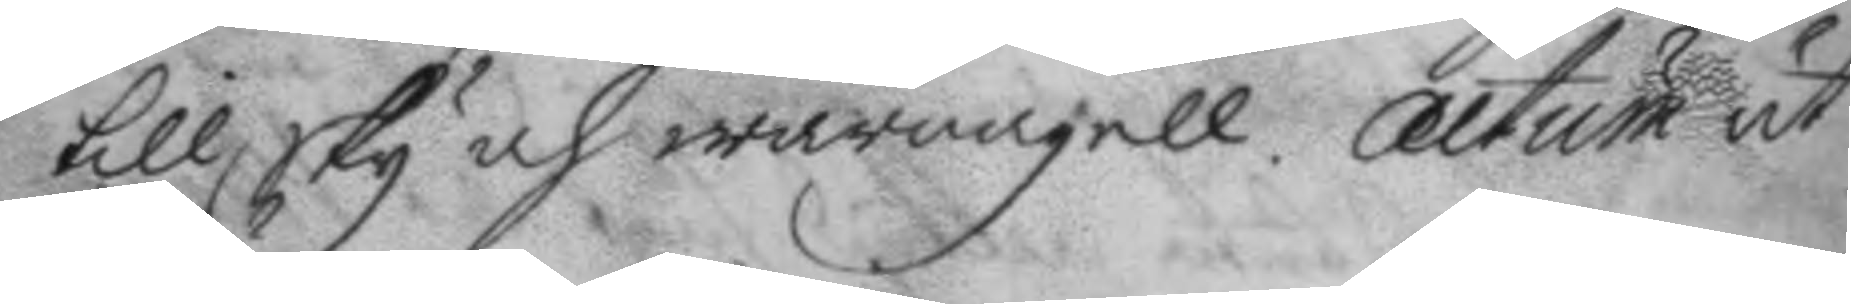till sky och warnagell. Actum ut
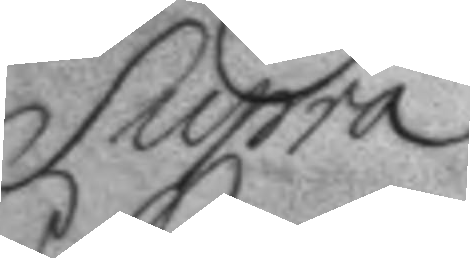Supra.
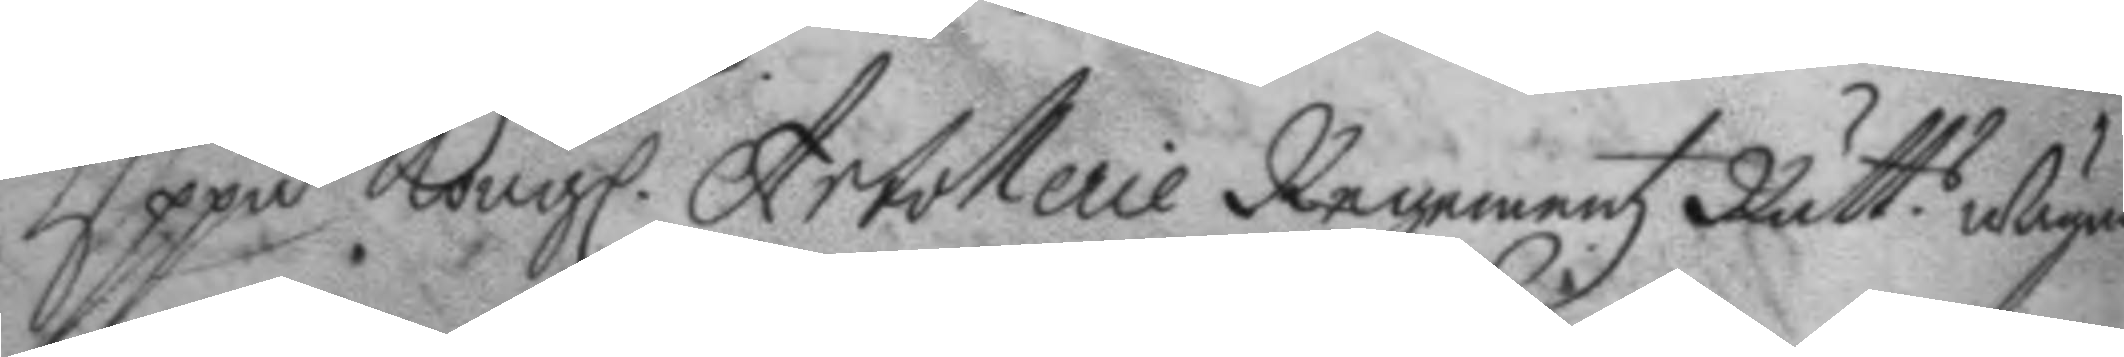Uppå Kongl. Artollerie Regementz Rätt.s wägnar 
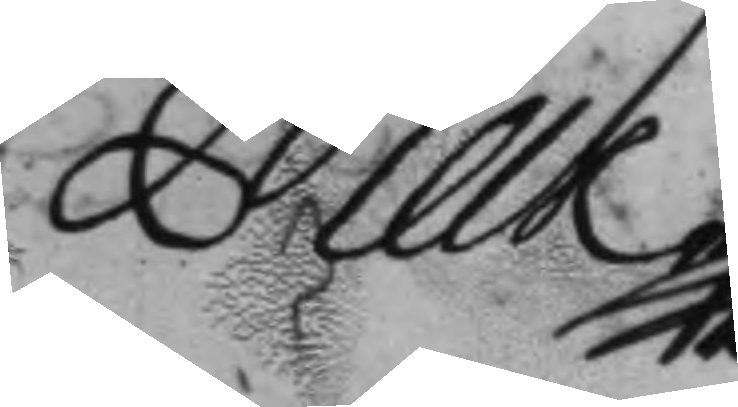Melk
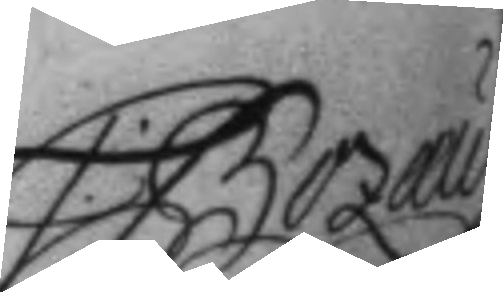C. Bozæus
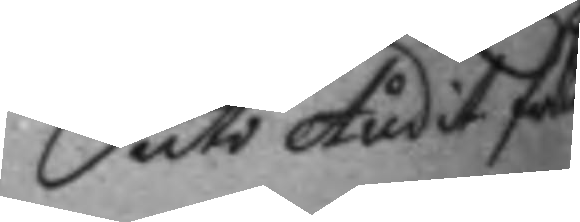uti Audit. från
